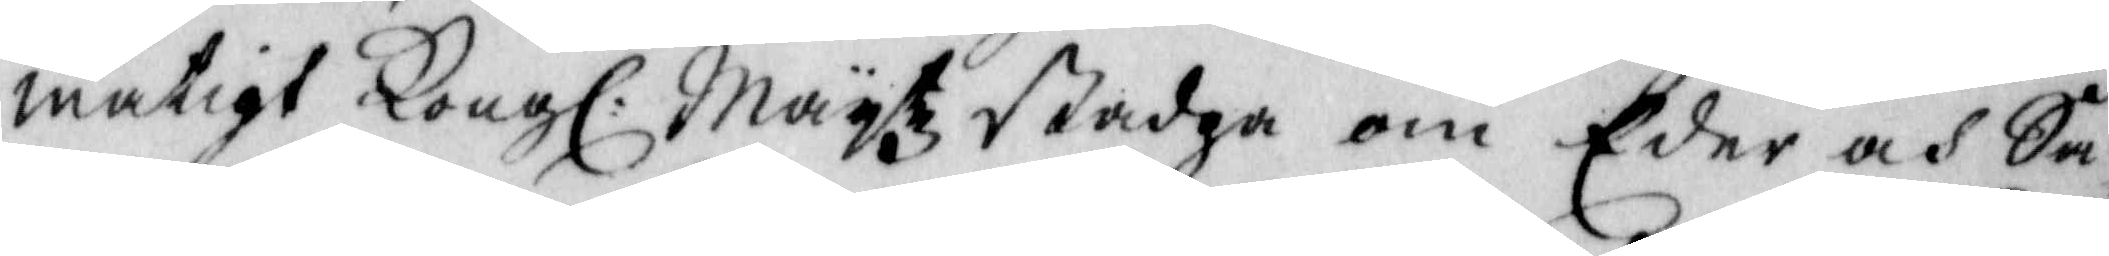mätigt Kong: Maytz Stadga om Eder och Sa¬
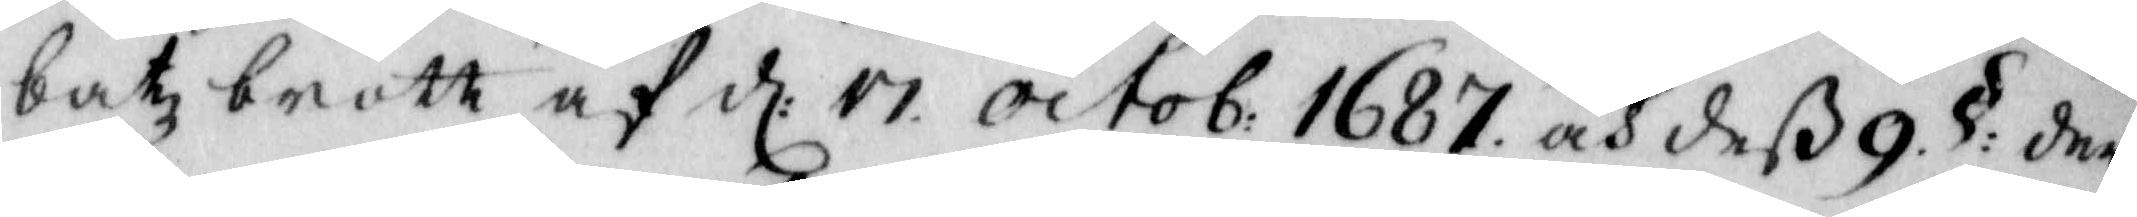batz brott af d: 17 octob: 1687 och deß 9 §: der¬
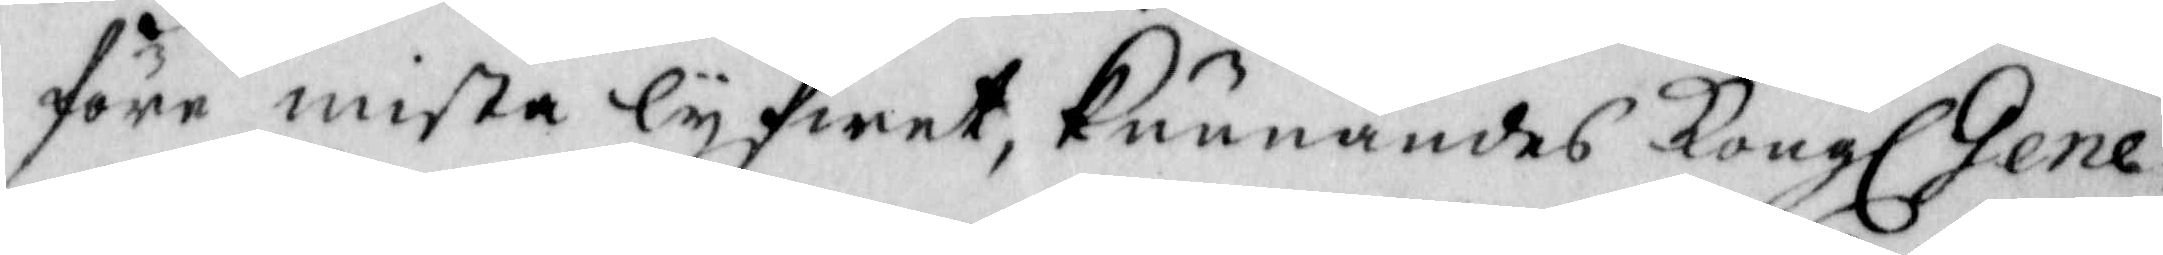före mista lyfwet, kunnandes Kongl Gene¬
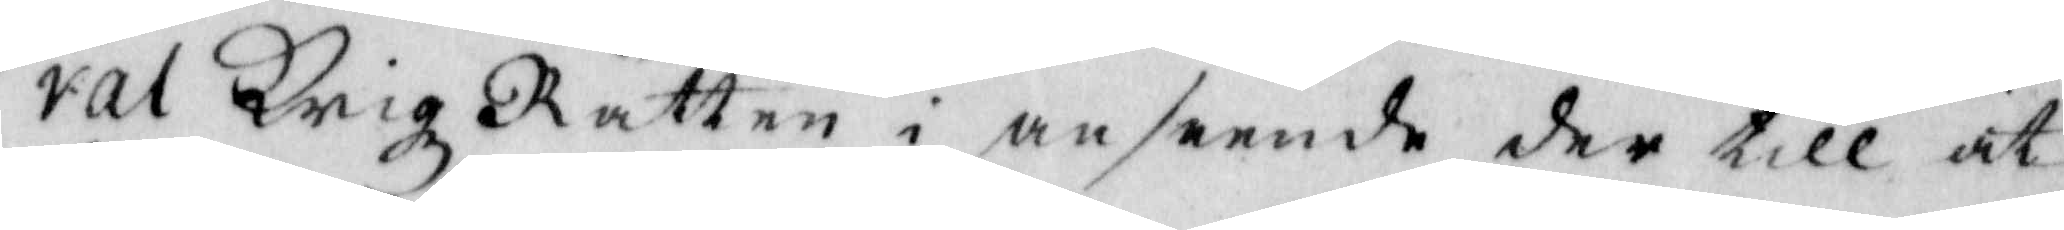ral Krigz Rätten i anseende der till at
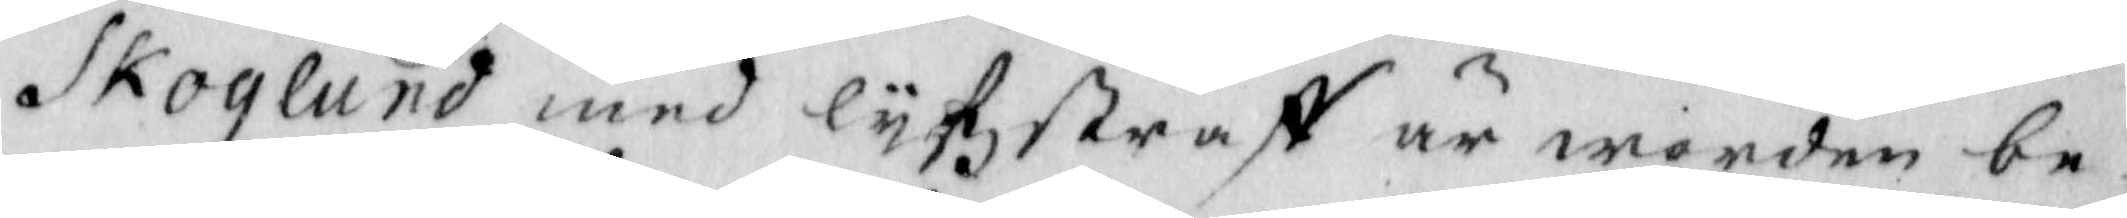Skoglund med Lyfzstraff är worden be¬
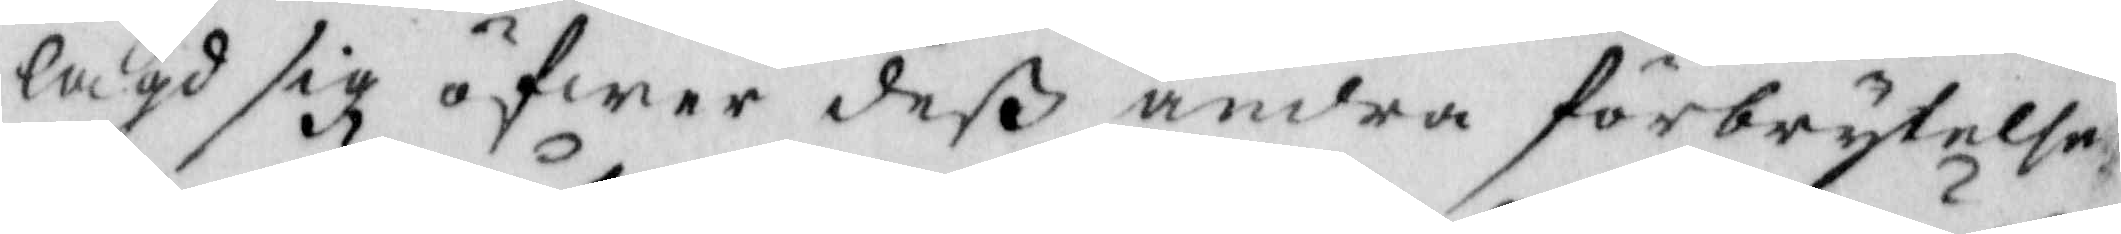lagd sig öfwer deß andra förbrytelse
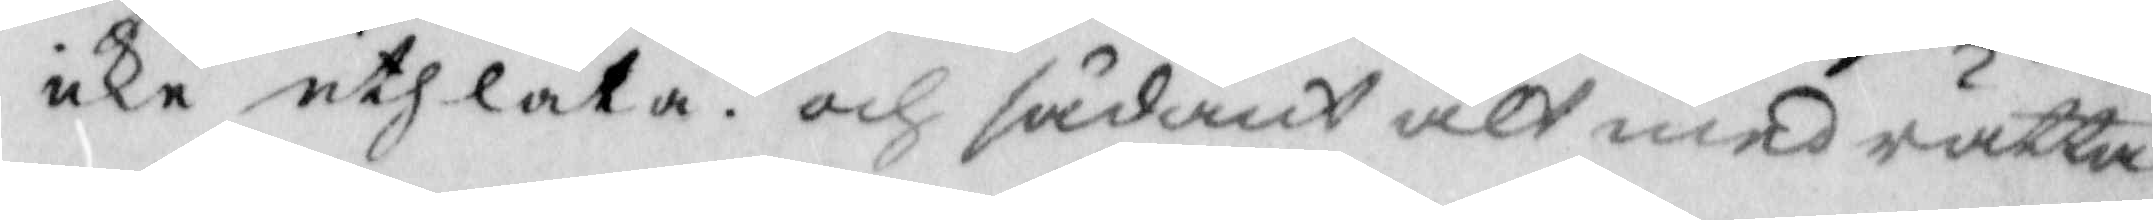icke uthlåta och sådant alt med rätta
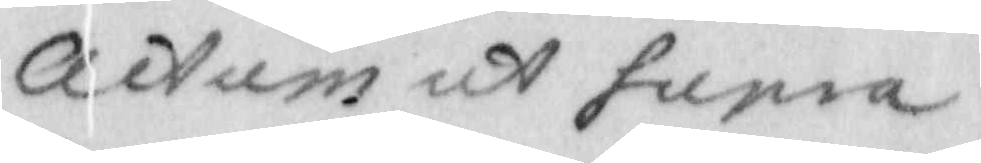actum ut supra
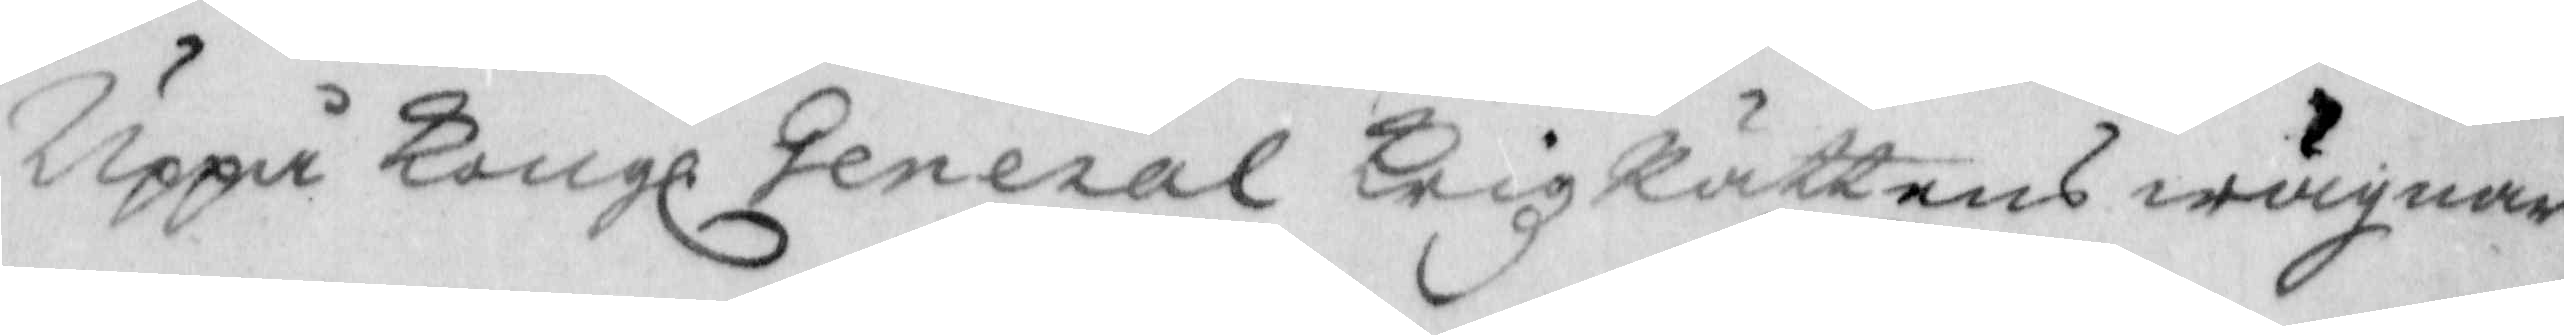Uppå Kongl General Krigz Rättens wägnar
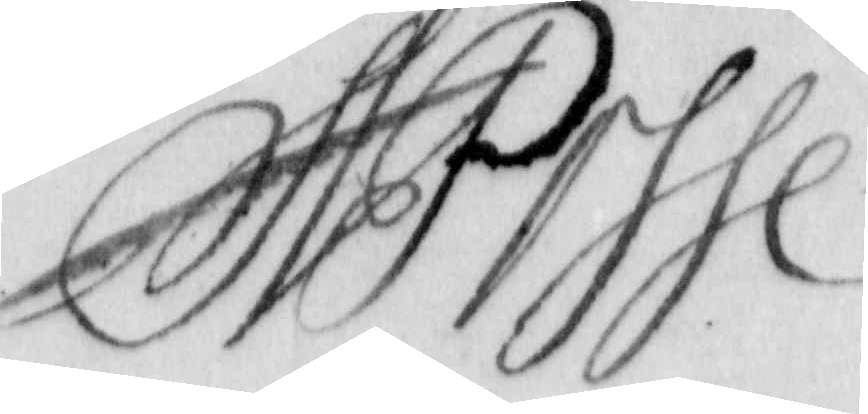A. Posse
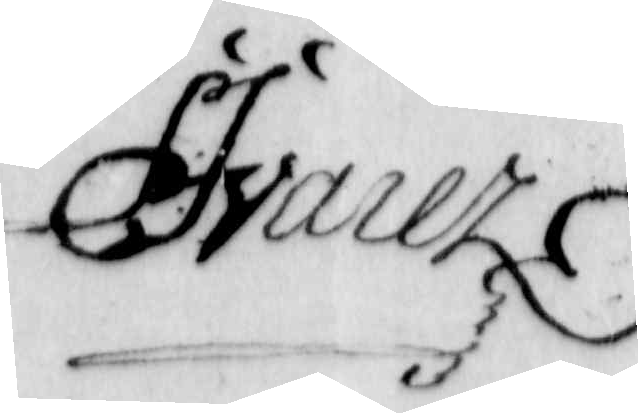F. Jvarer
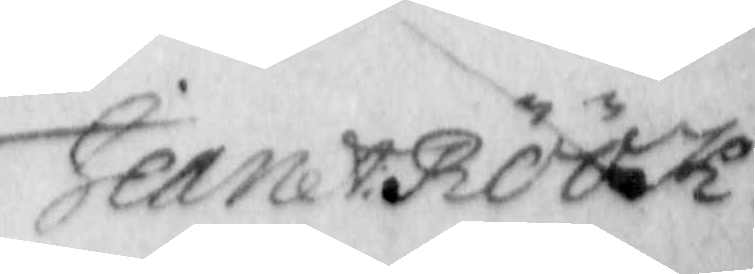Jean A: Böök
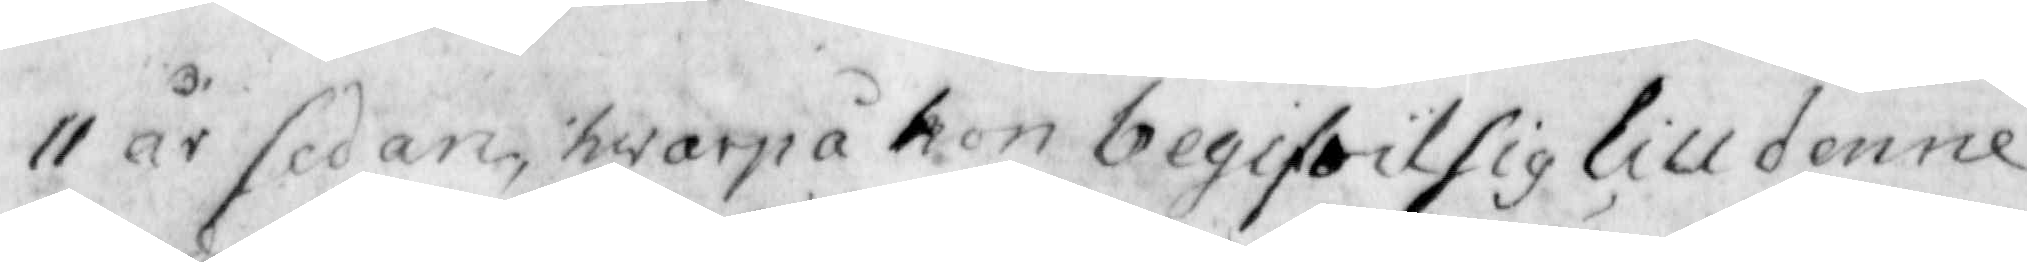11 år sedan, hwarpå hon begifwit sig till denne
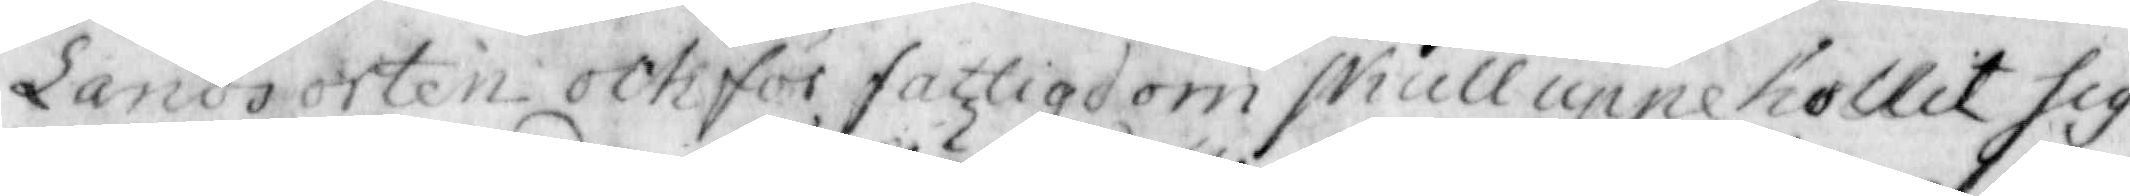Landsorten och för fattigdom skull uppehollit sig
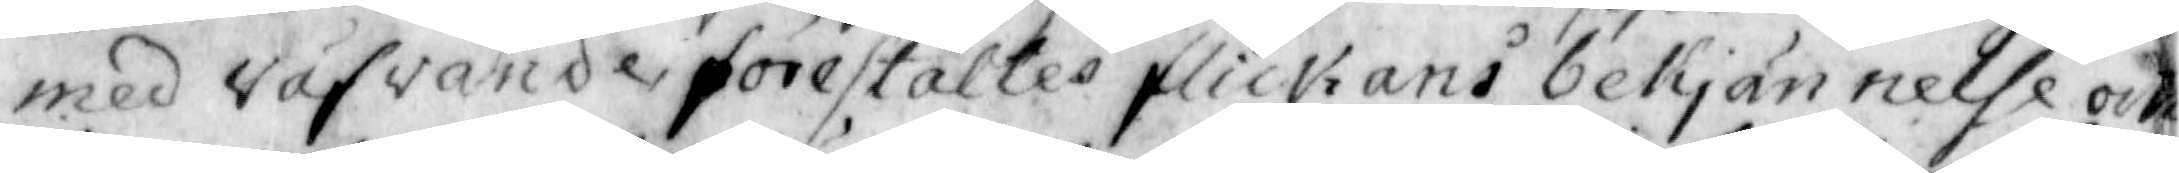med väfvande, förestältes flickans bekjännelde och
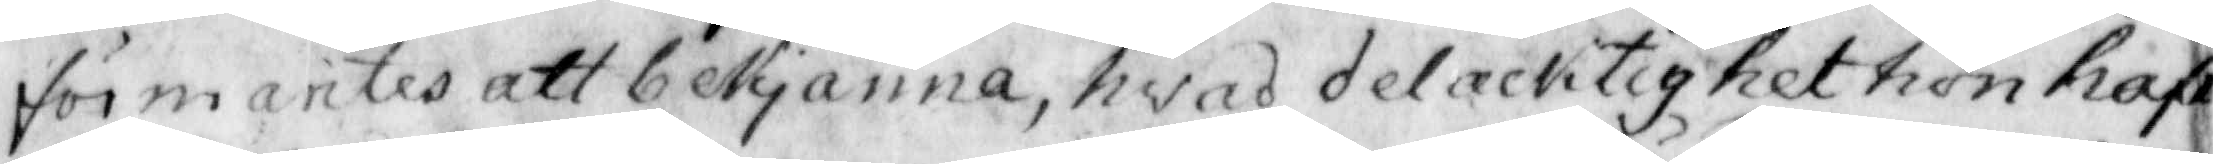förmantes att bekjänna, hvad delacktighet hon haft
